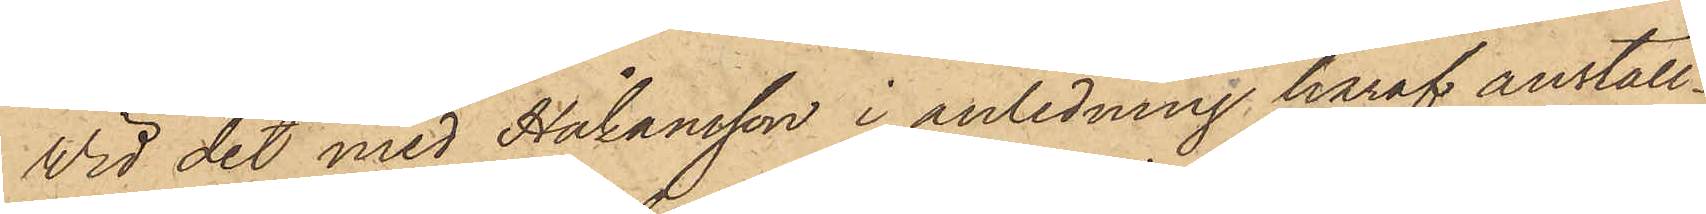Vid det med Håkansson i anledning häraf anställ¬
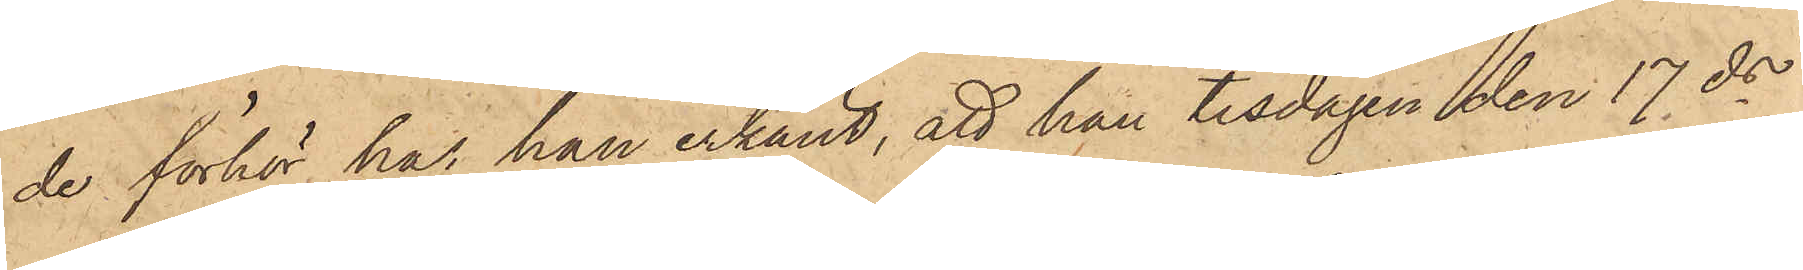de förhör har han erkänt, att han tisdagen den 17 ds
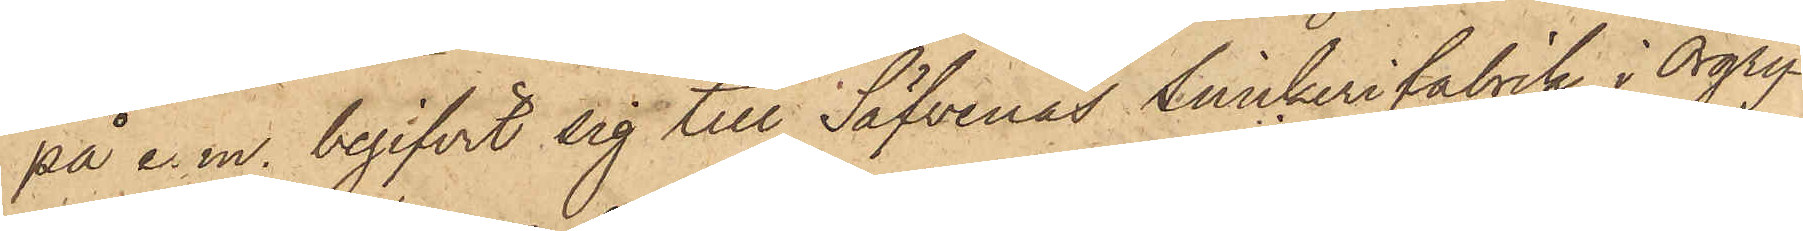på e. m. begifvit sig till Säfvenäs Snickerifabrik i Örgry¬
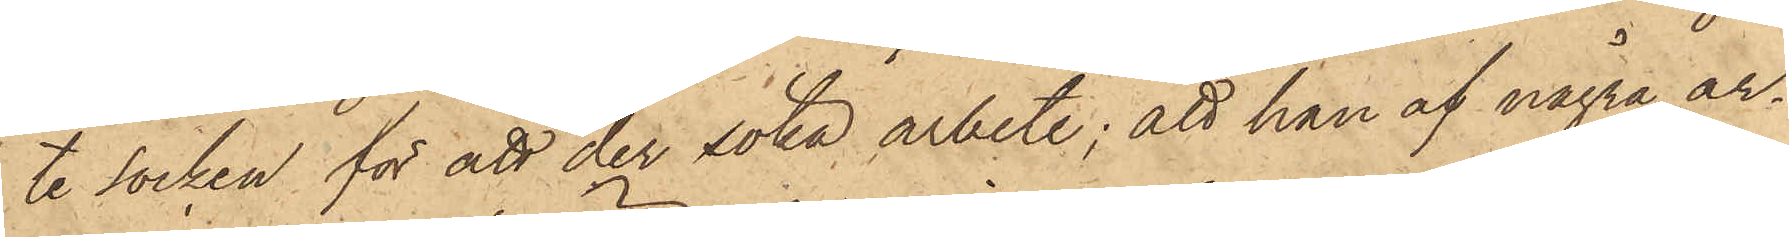te socken för att der söka arbete; att han af några ar¬
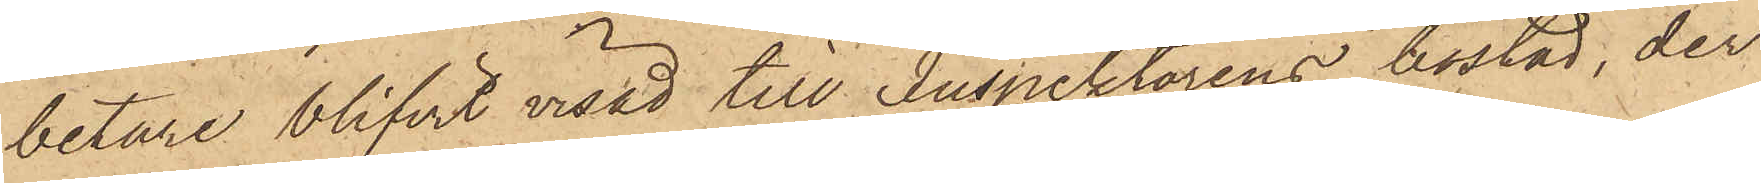betare blifvit visad till Inspektorens bostad, der
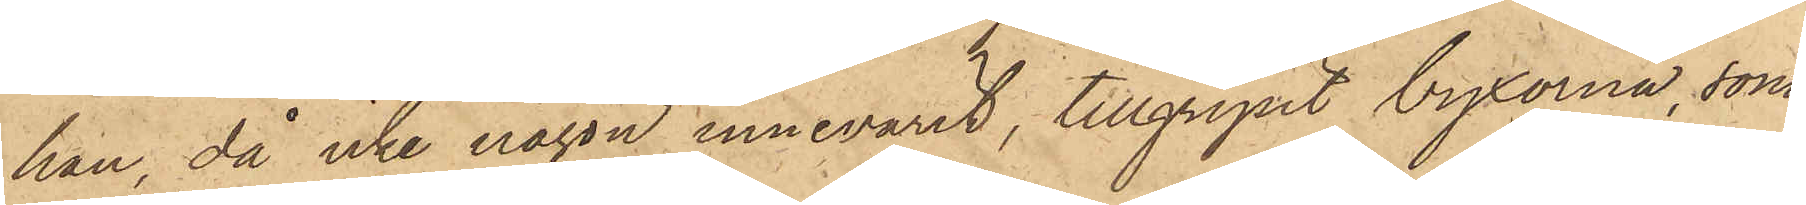han, då icke någon innevarit, tillgripit byxorna, som
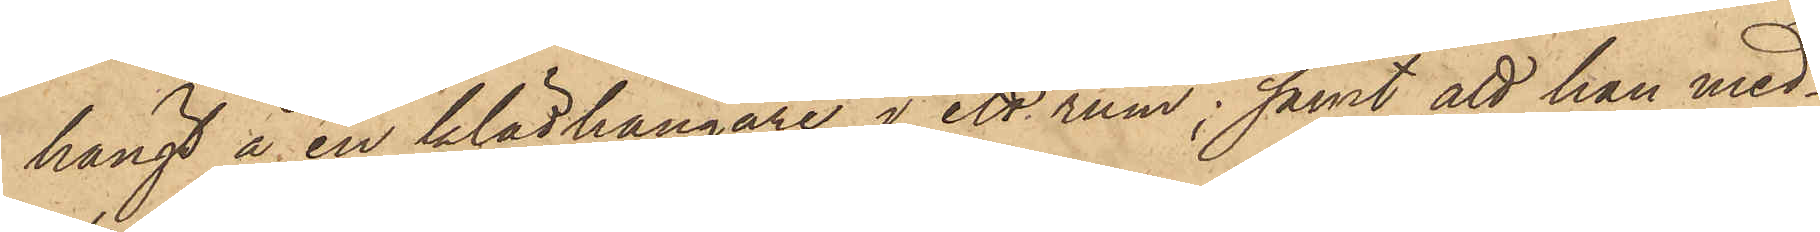hängt å en klädhängare i ett rum; samt att han med¬
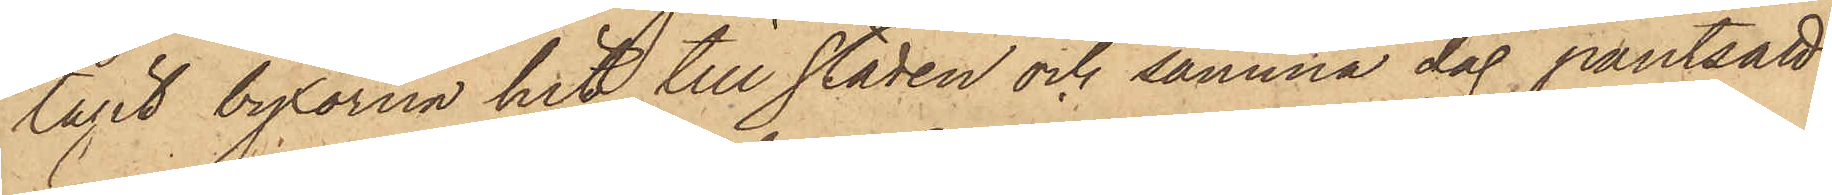tagit byxorna hit till staden och samma dag pantsatt
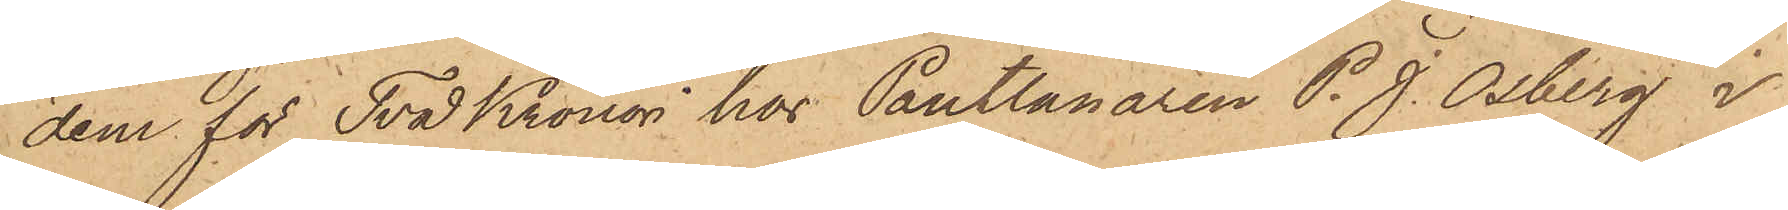dem för Två Kronor hos Pantlånaren P. J. Osberg i
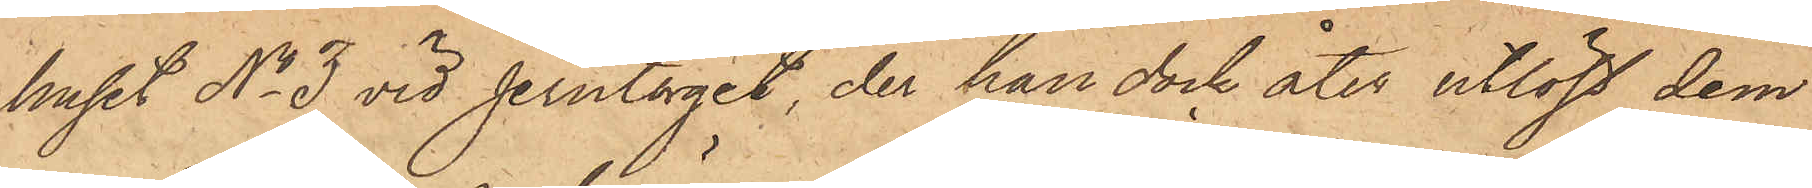huset No 3 vid Jerntorget, der han dock åter utlöst dem
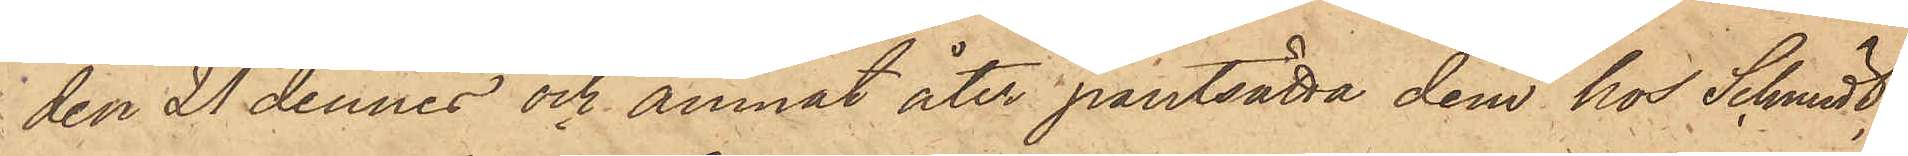den 21 dennes och ämnat åter pantsätta dem hos Schmidt,
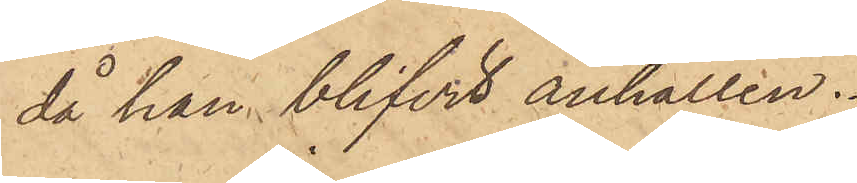då han blifvit anhållen.
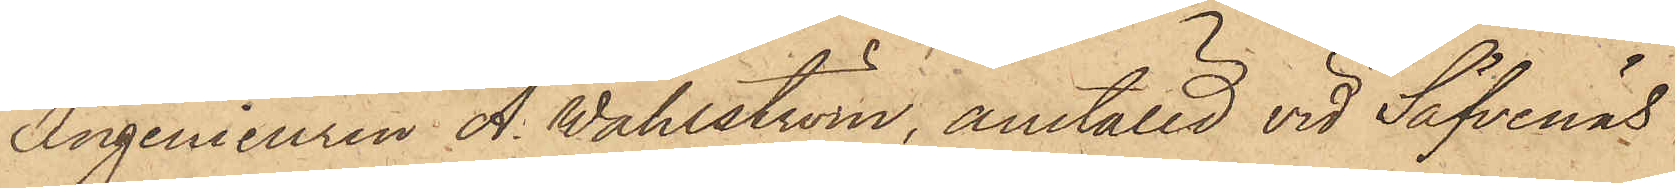Ingenieuren A. Wahlström, anställd vid Säfvenäs
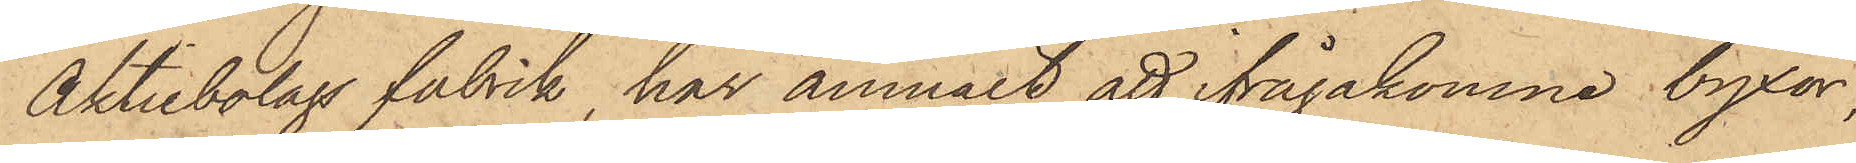Aktiebolags fabrik, har anmält, att ifrågakomne byxor,
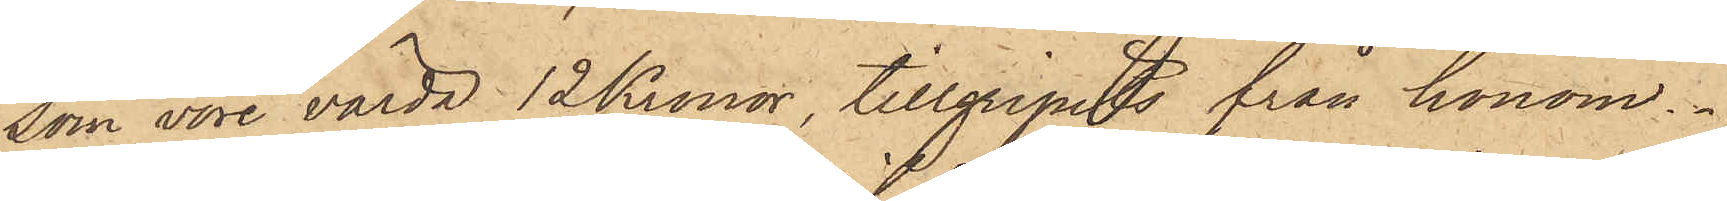som vore värda 12 Kronor, tillgripits från honom.
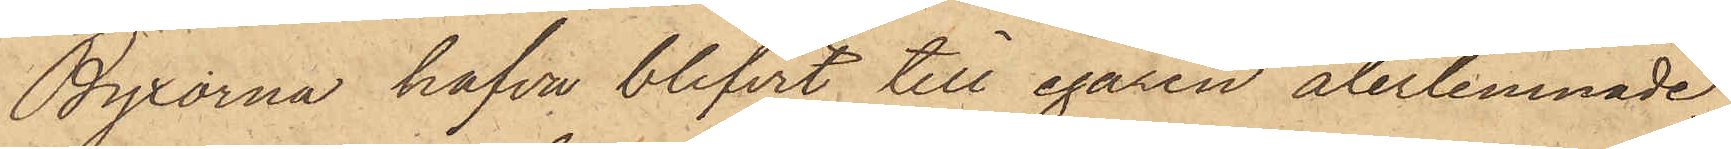Byxorna hafva blifvit till egaren återlemnade.
